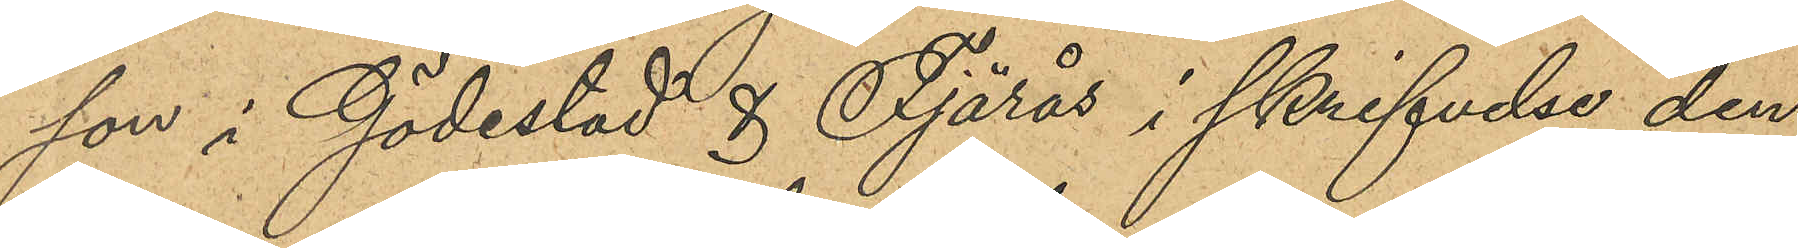son i Gödestad & Fjärås i skrifvelse den
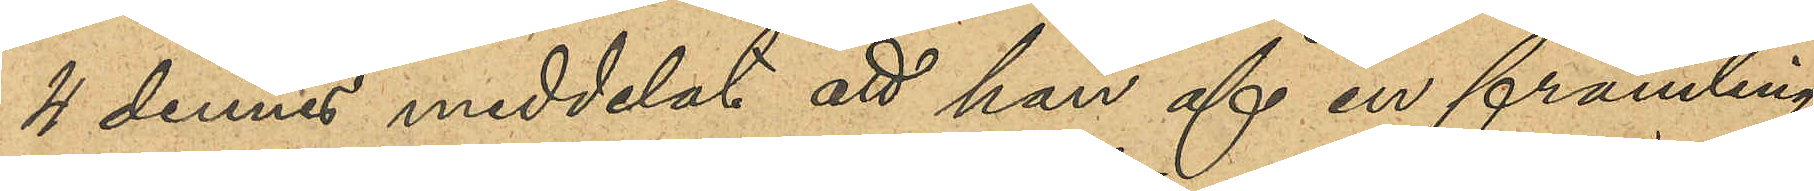4 dennes meddelat att han af en främling
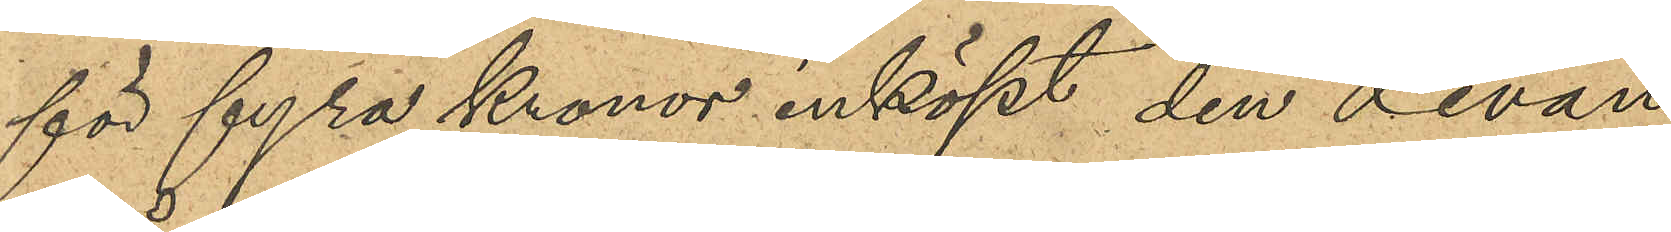för fyra kronor inköpt den Levan
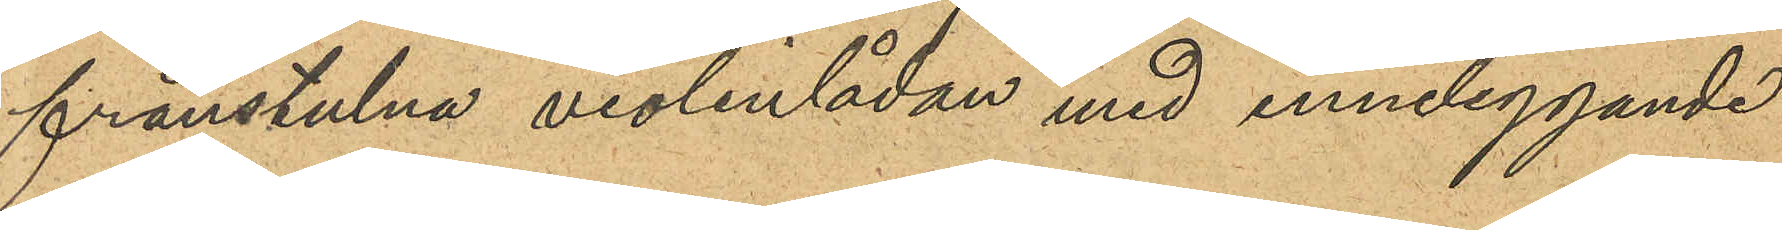frånstulna violinlådan med inneliggande
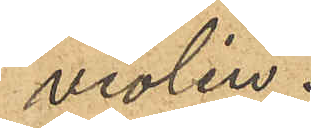violin.
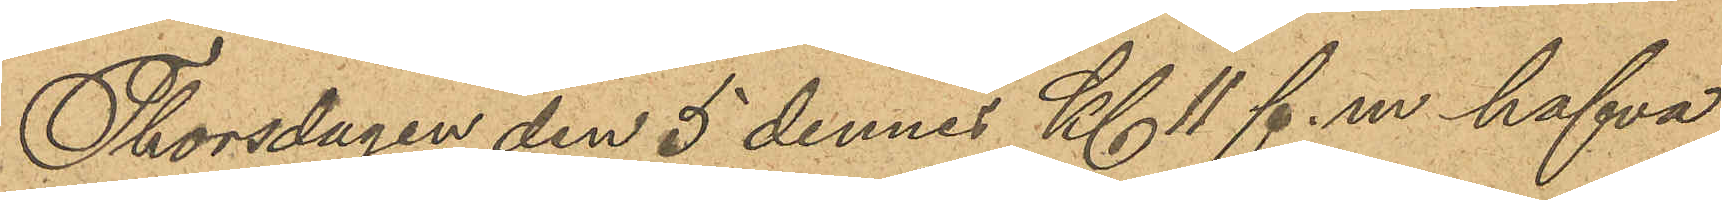Thorsdagen den 5 dennes kl 11 f. m. hafva
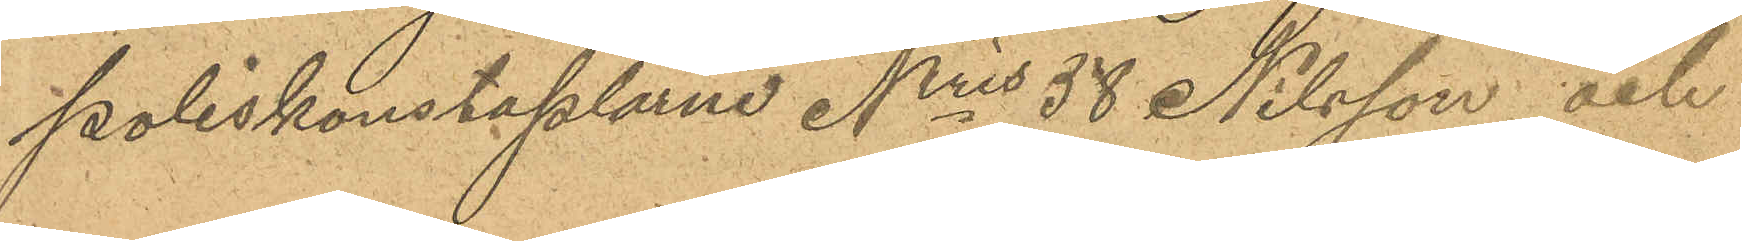Poliskonstaplarne Nris 38 Nilsson och
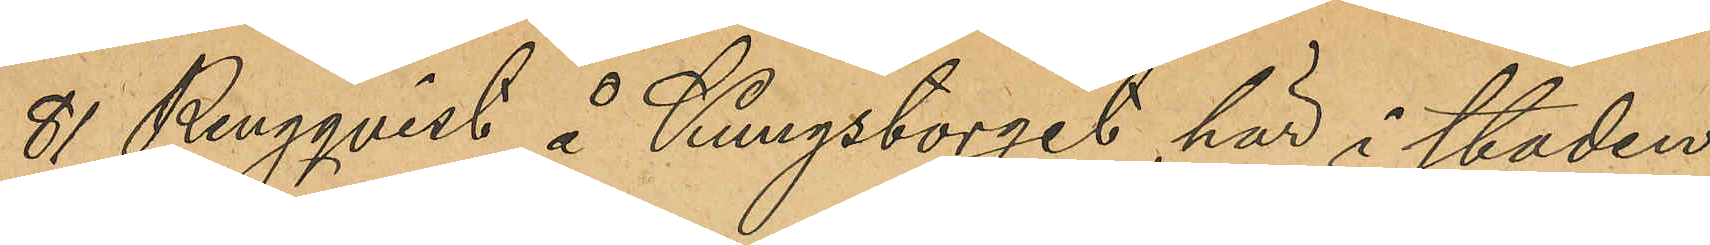81 Ringqvist å Kungstorget här i staden
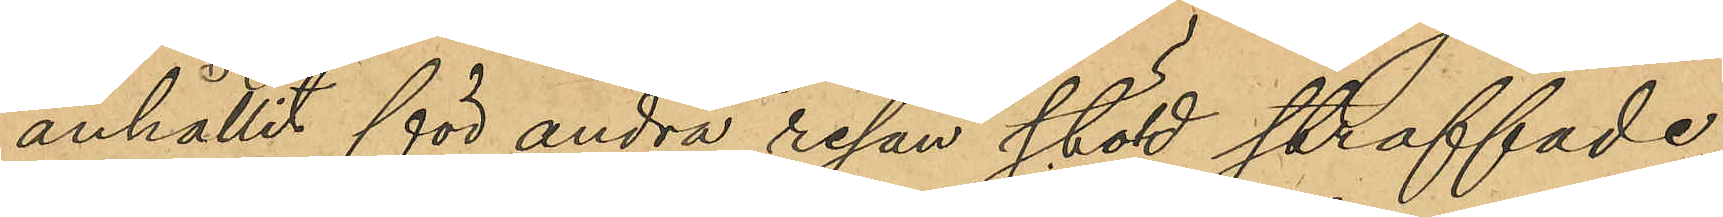anhållit för andra resan stöld straffade
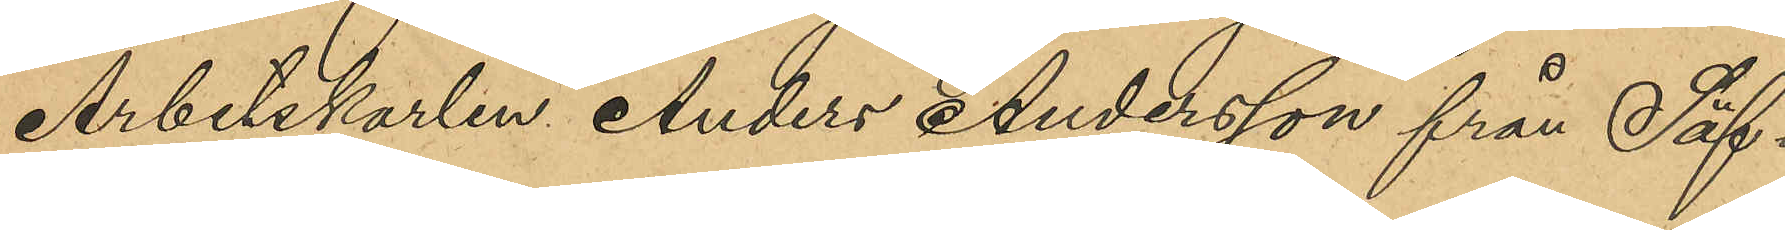Arbetskarlen Anders Andersson från Säf¬
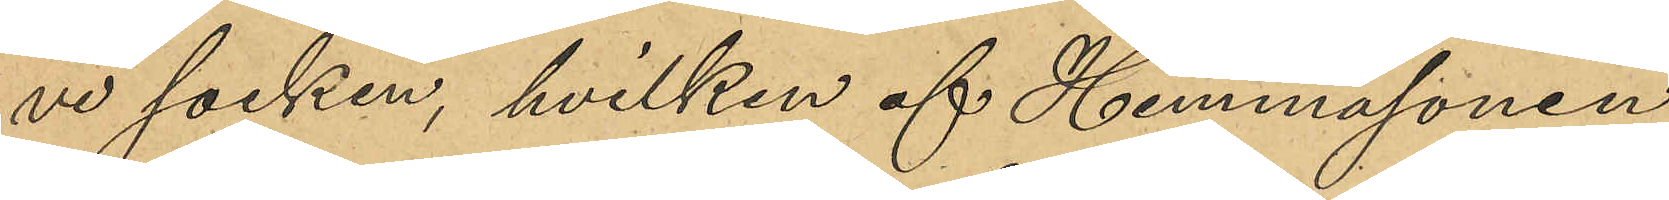ve socken, hvilken af Hemmasonen
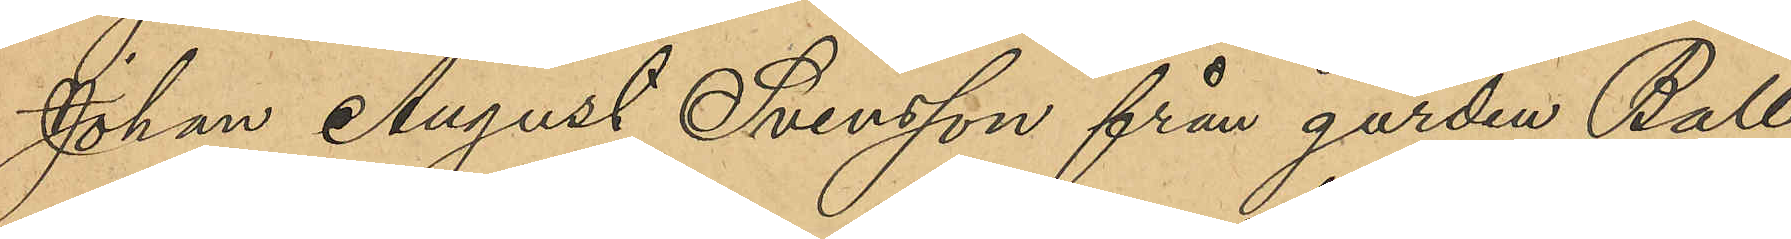Johan August Svensson från gården Ball¬
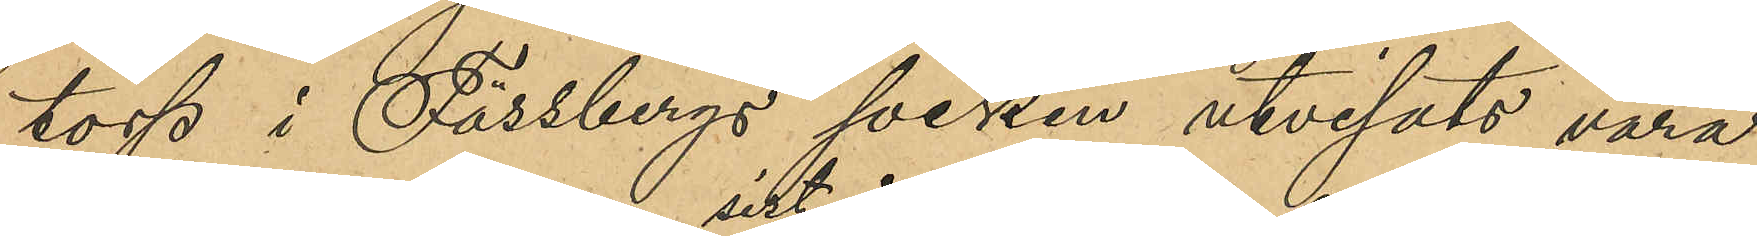torp i Fässbergs socken utvisats vara
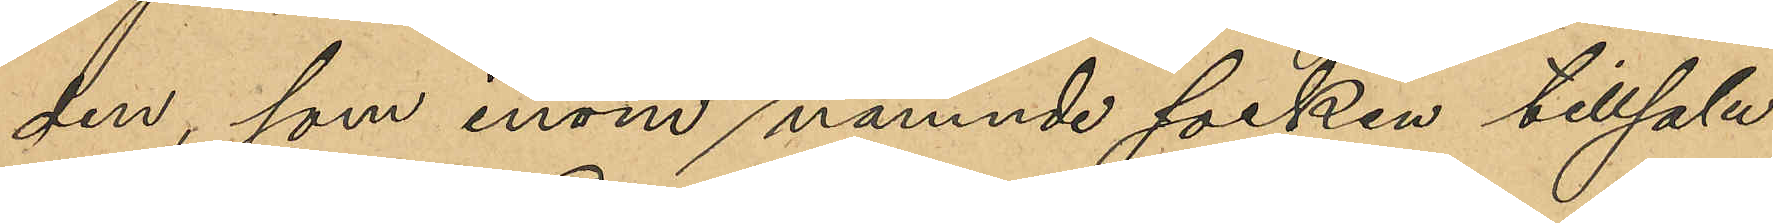den, som inom sistnämnde socken tillsalu
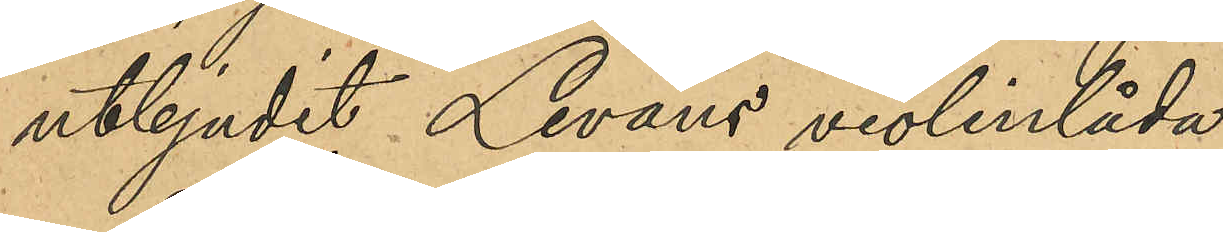utbjudit Levans violinlåda.
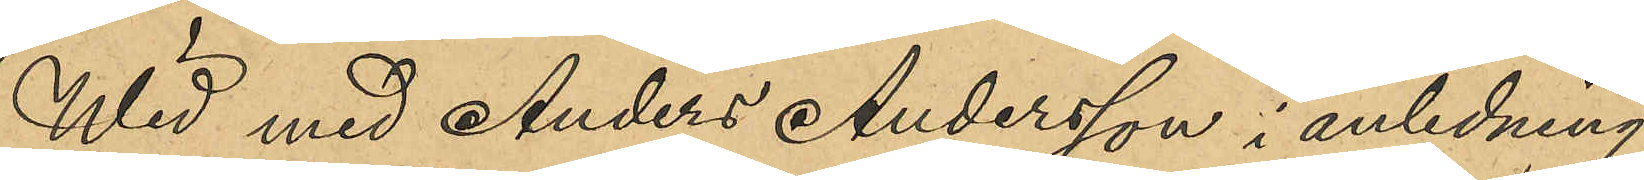Wid med Anders Andersson i anledning
